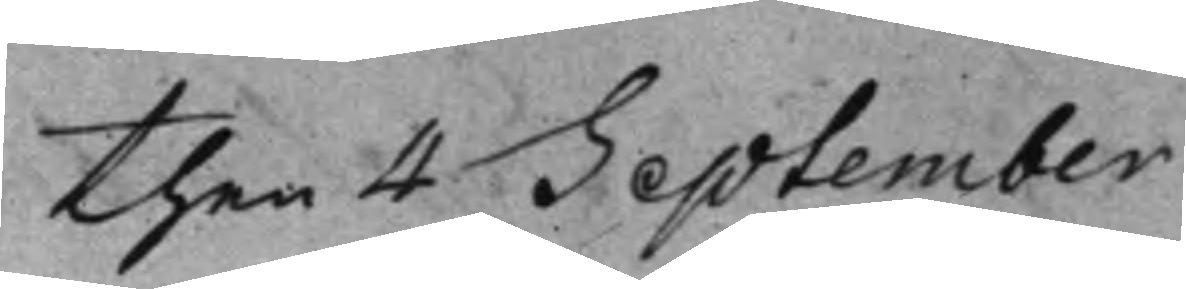then 4 September
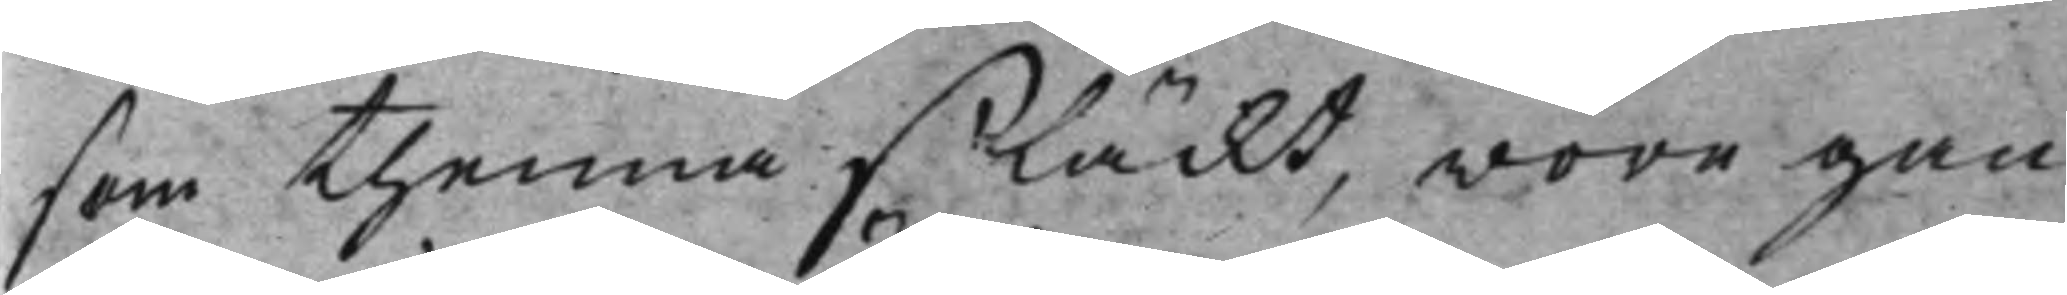som thenna släckt, wore gan¬
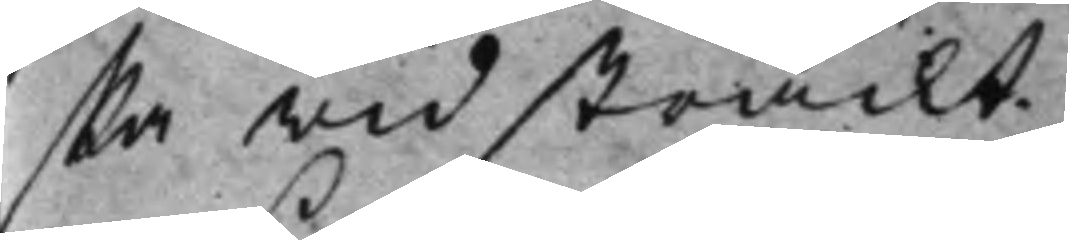ska widsträckt.
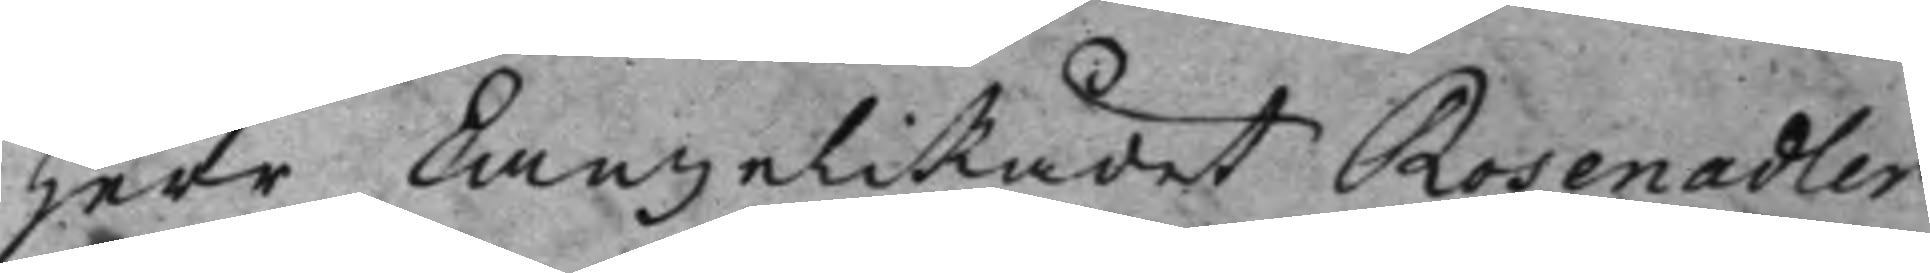Herr CanzeliRådet Rosenadler
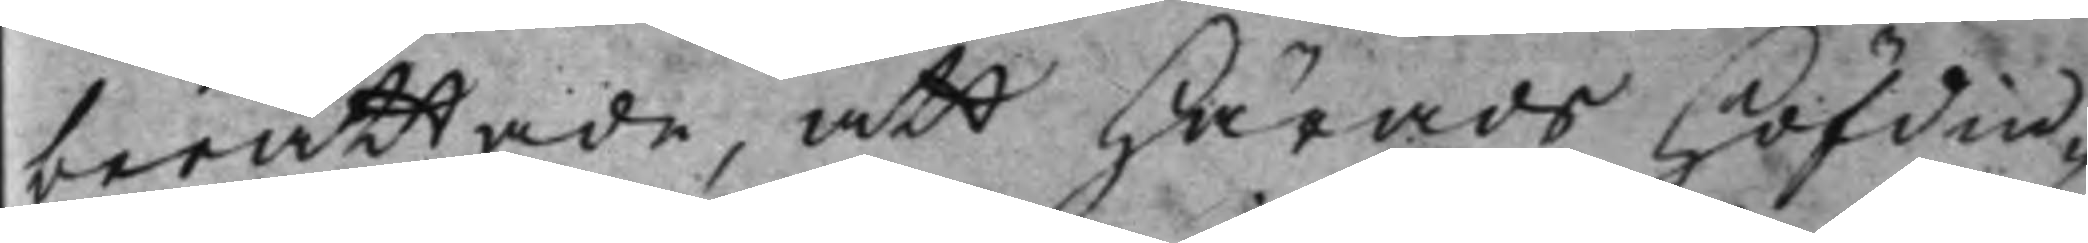berättade, att HäradsHöfdin¬
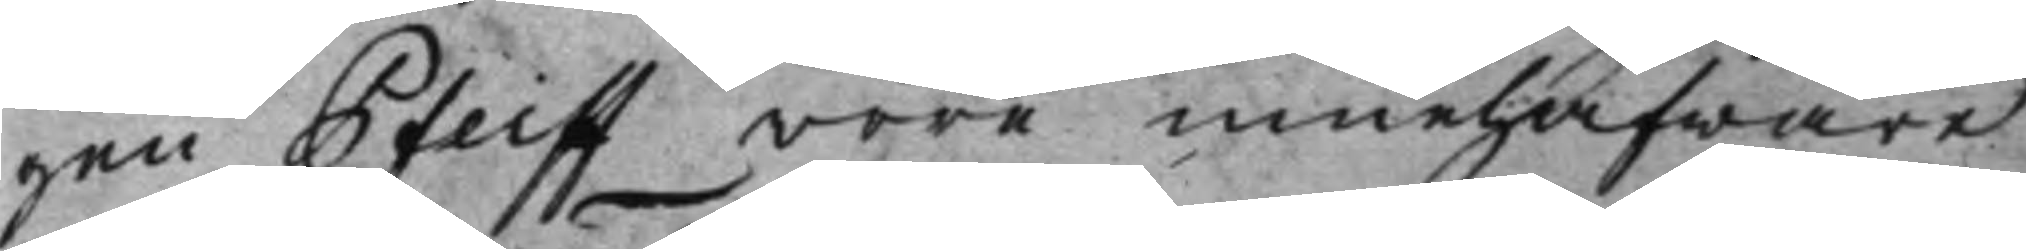gen Pfeiff wore innehafware
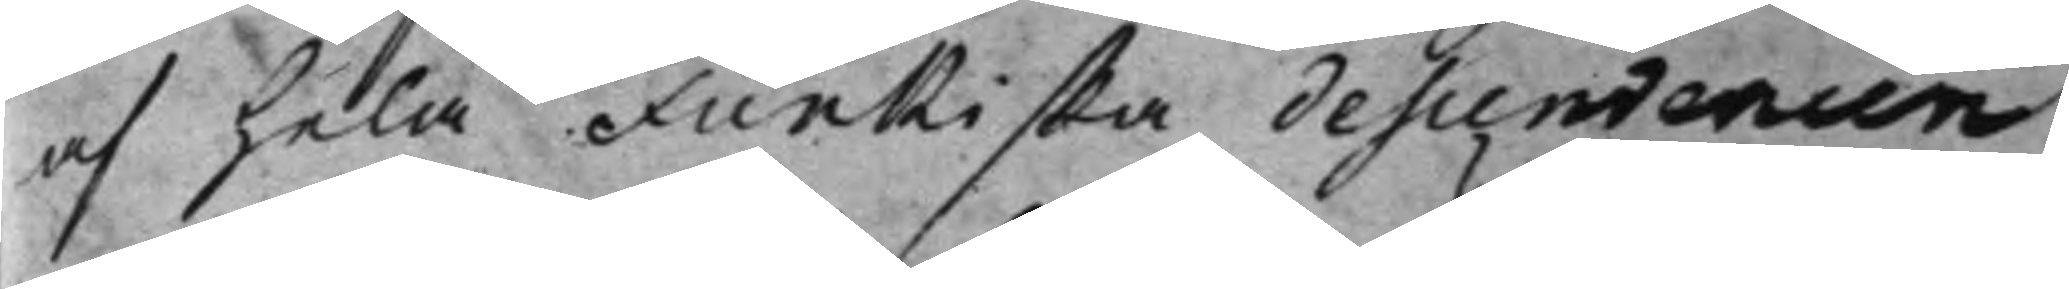af hela Funkiska descendencen
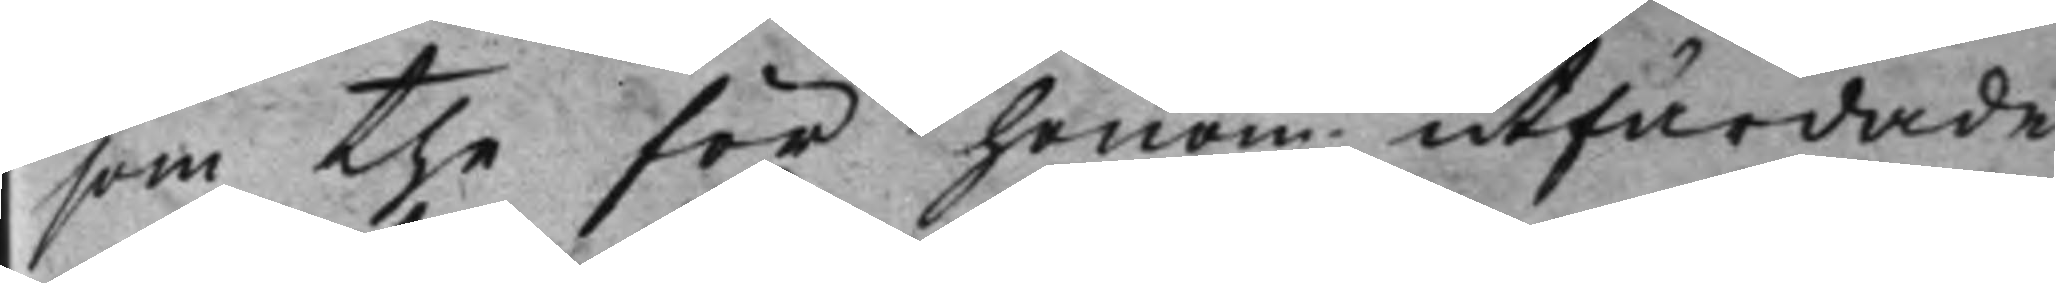som the för honom utfärdade
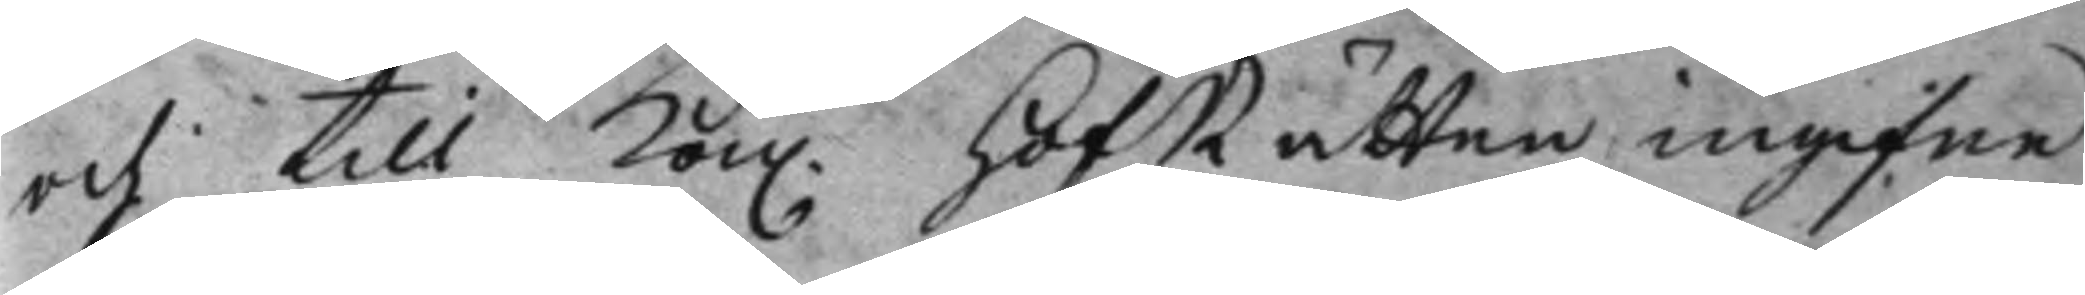och till Kon. HofRätten ingifne 
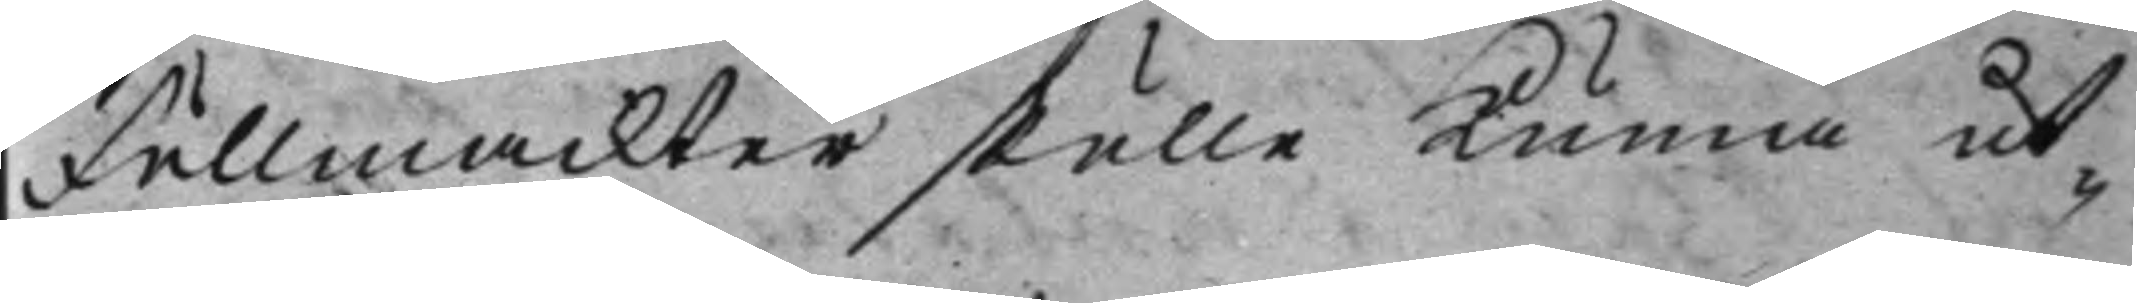Fullmackter skulle Kunna ut¬
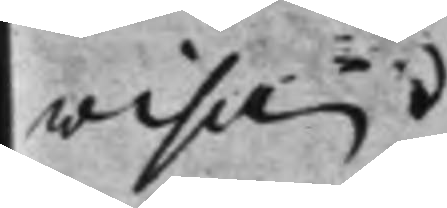wisa.
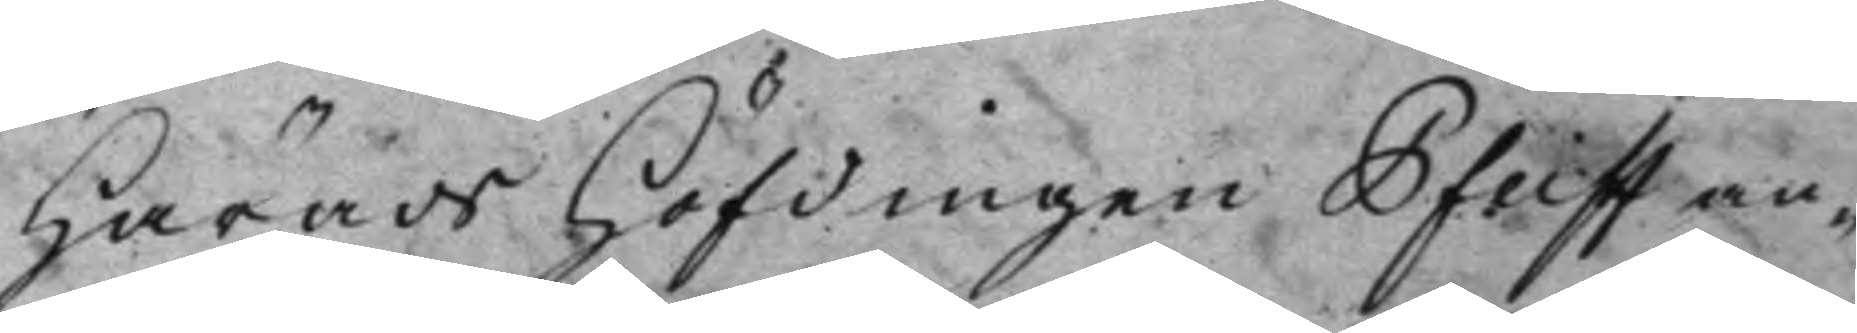HäradsHöfdingen Pfeiff an¬
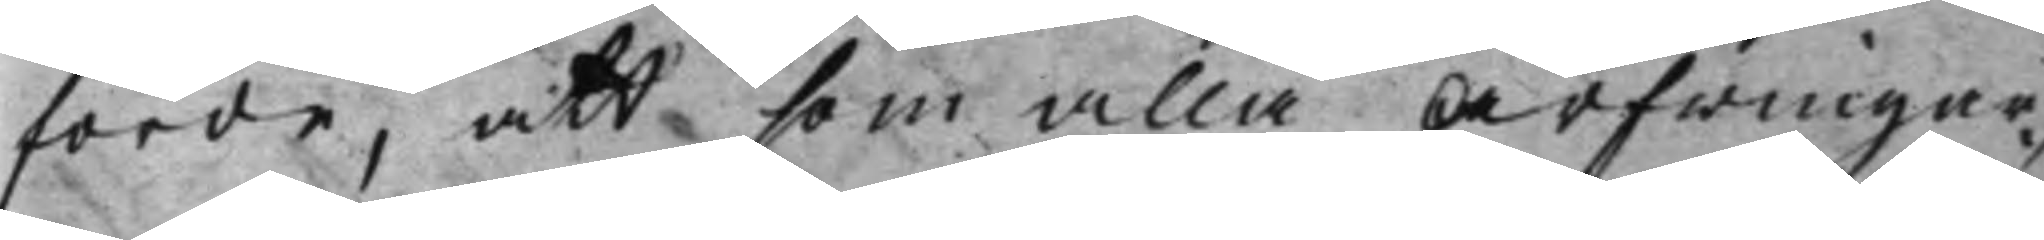förde, att som alla Arfwingar¬
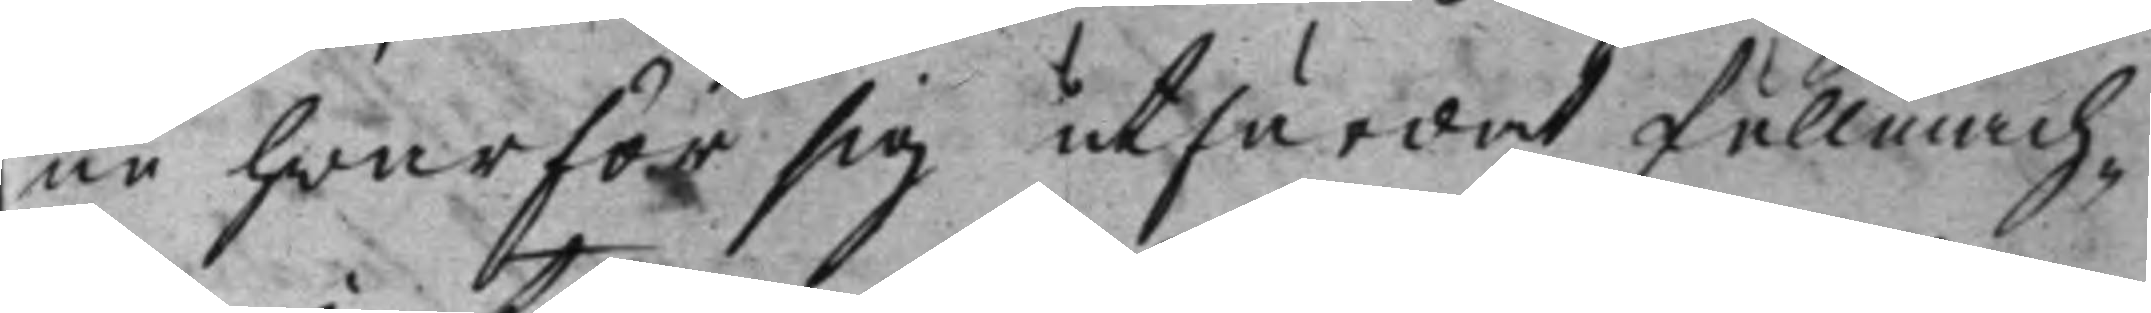ne hwar för sig utfärdat fullmach¬
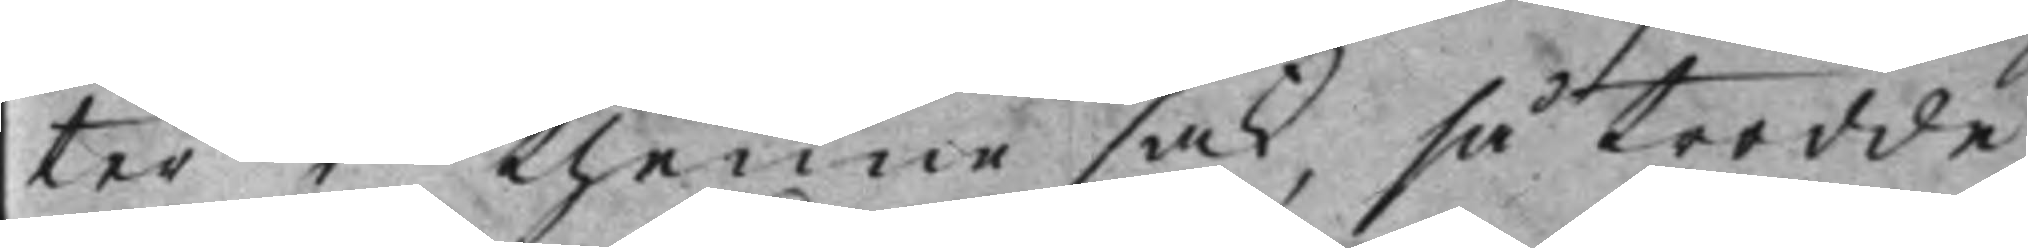ter i thenne sak, så trodde
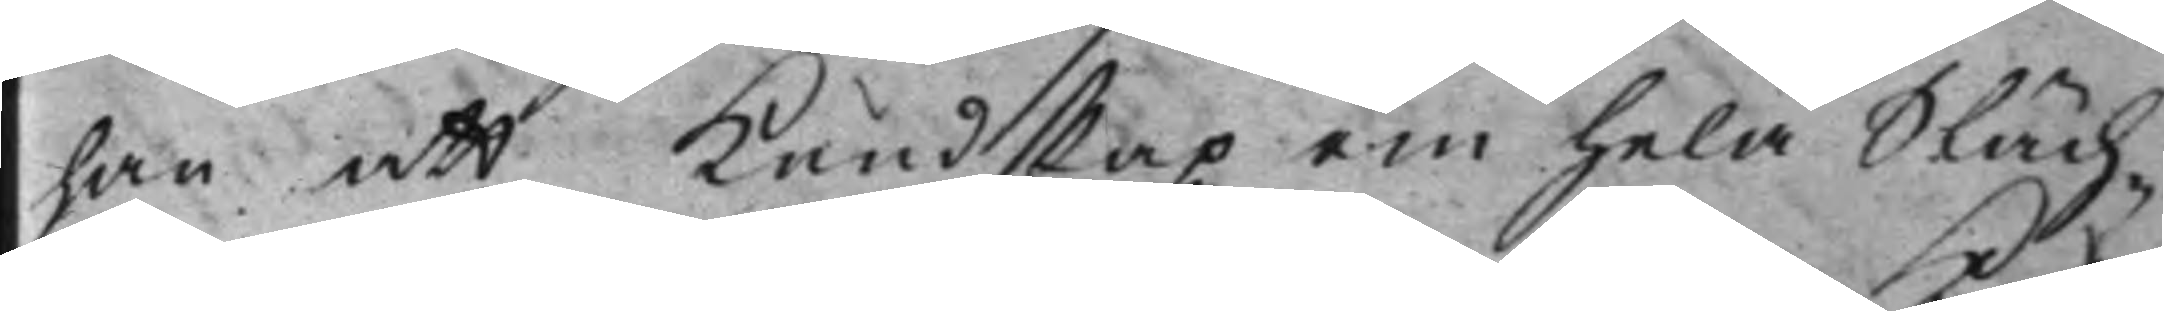han att Kundskap om hela Släch¬
